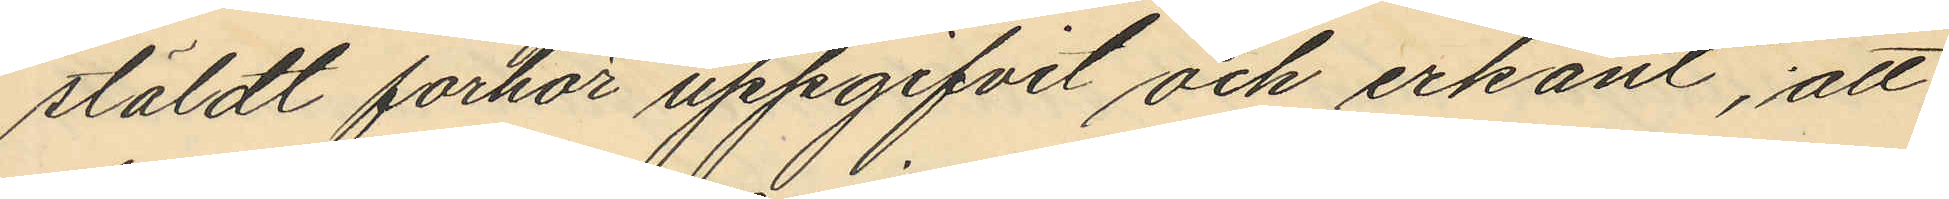stäldt forhör uppgifvit och erkänt, att
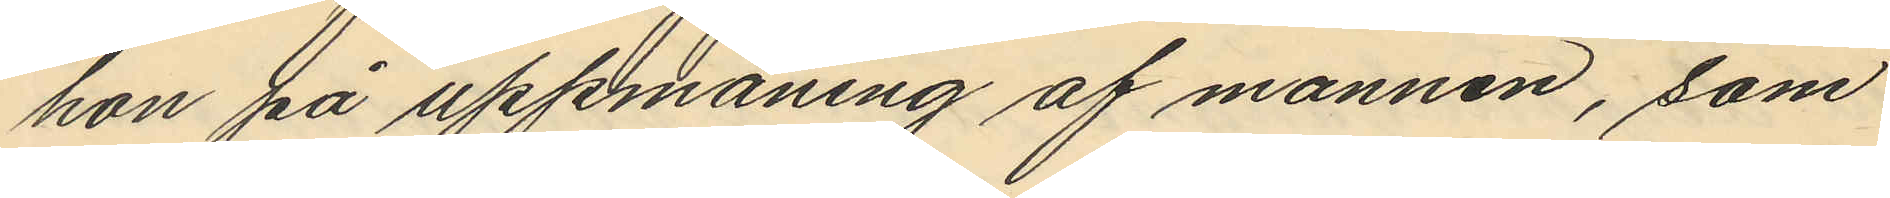hon på uppmaning af mannen, som
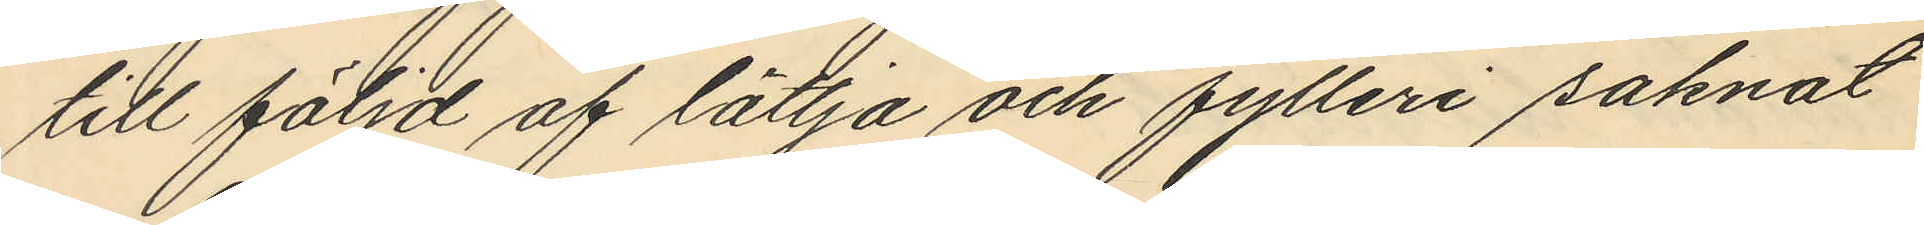till följd af lättja och fylleri saknat
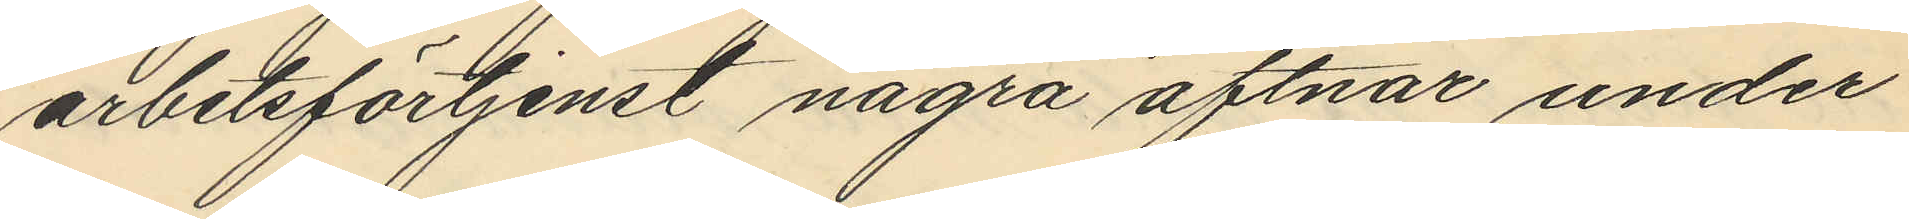arbetsförtjenst några aftnar under
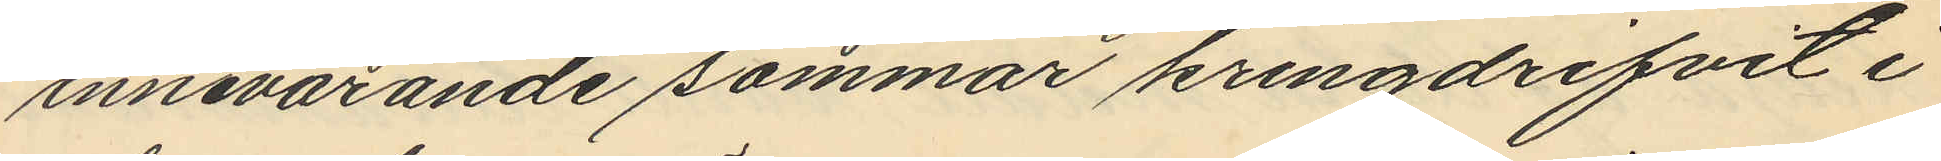innevarande sommar kringdrifvit i
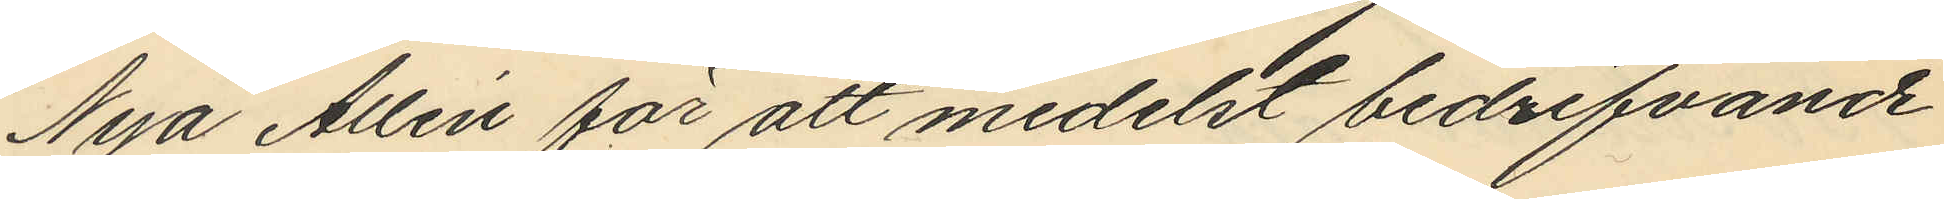Nya Allén för att medelst bedrifvande
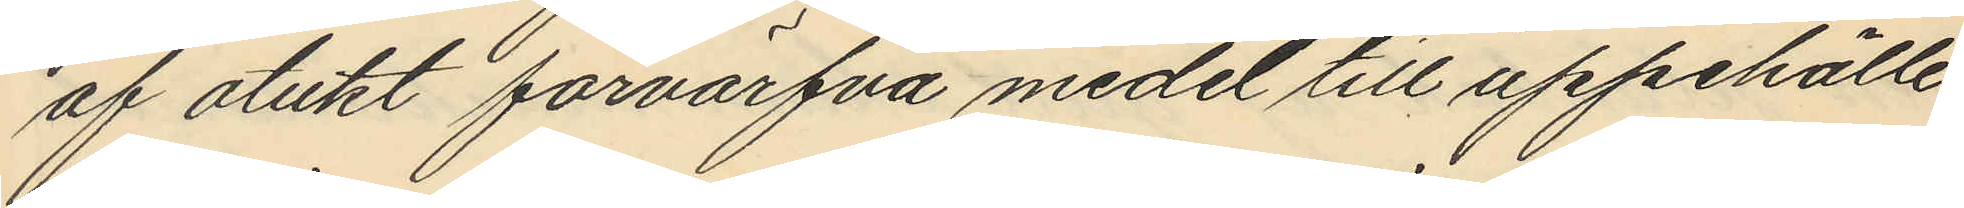af otukt förvärfva medel till uppehälle
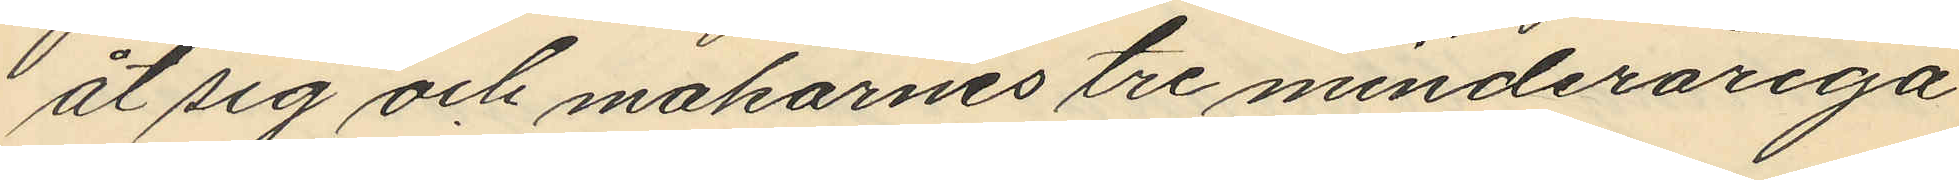åt sig och makarnes tre minderåriga
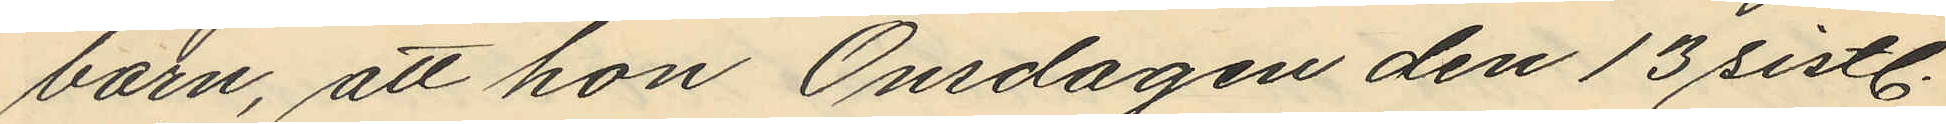barn, att hon Onsdagen den 13 sistl.
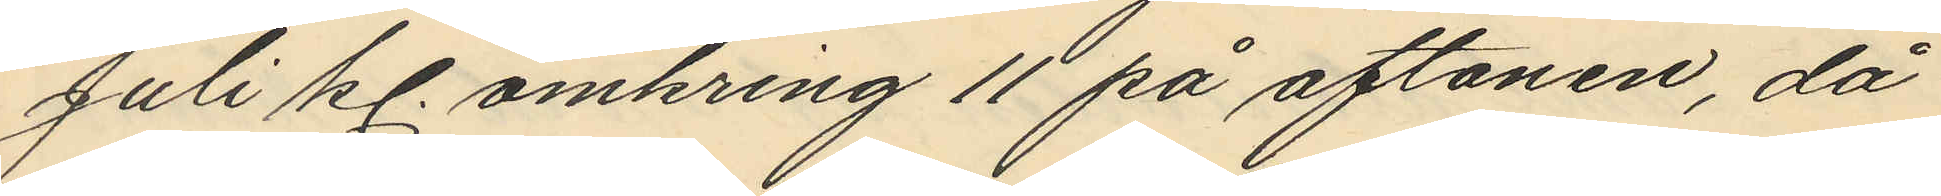Juli kl. omkring 11 på aftonen, då
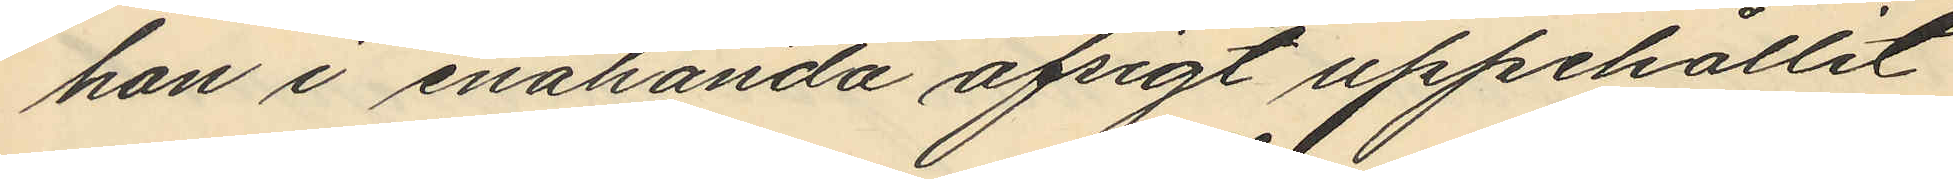hon i enahanda afsigt uppehållit
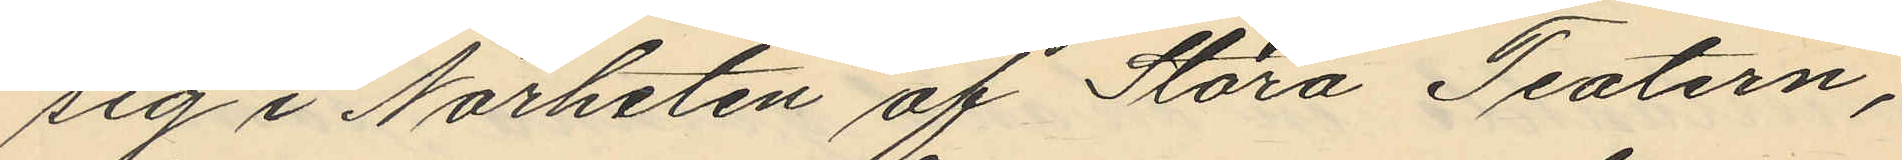sig i Närheten af Stora Teatern,
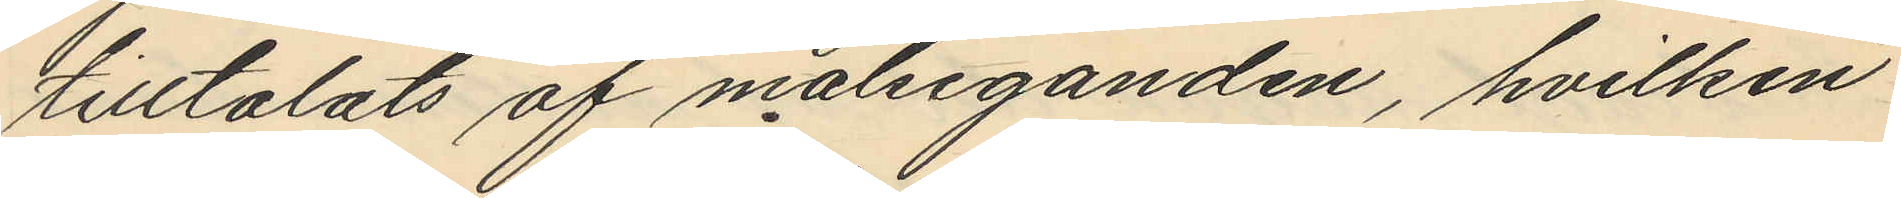tilltalats af målseganden, hvilken
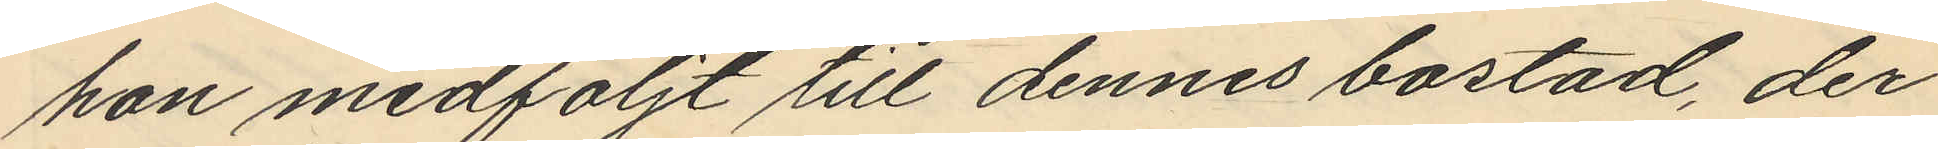hon medföljt till dennes bostad, der
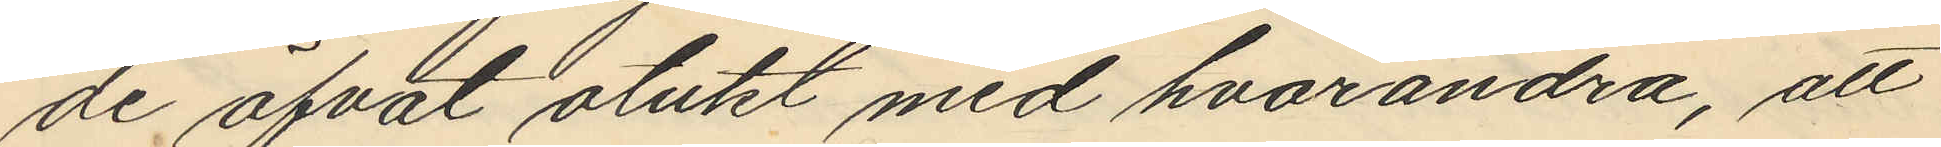de öfvat otukt med hvarandra, att
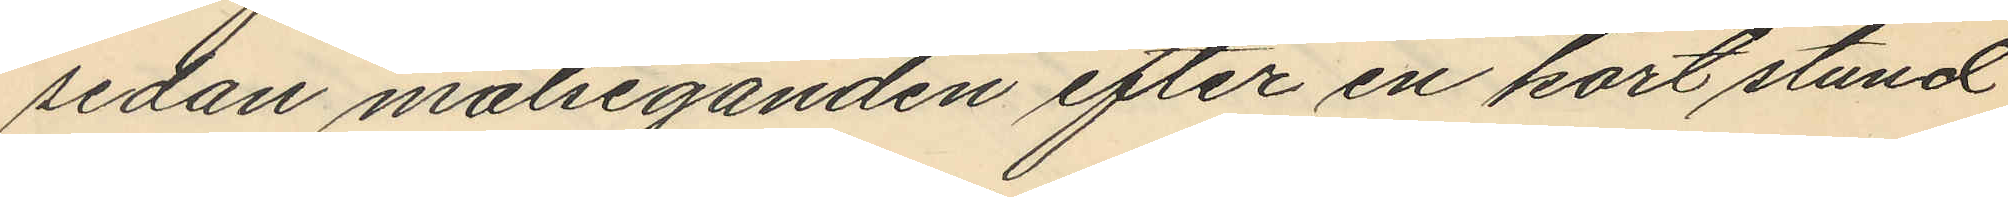sedan målseganden efter en kort stund
